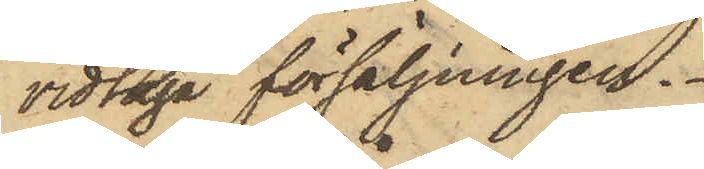vidtaga försäljningen.
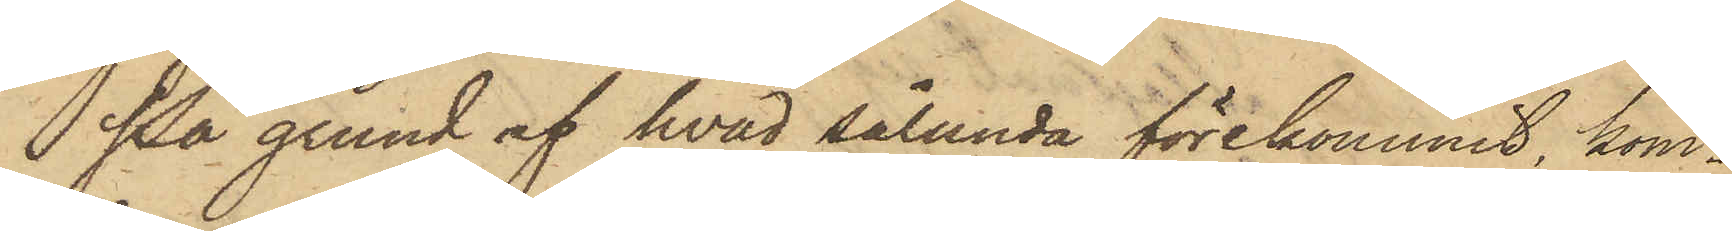På grund af hvad sålunda förekommit, kom¬
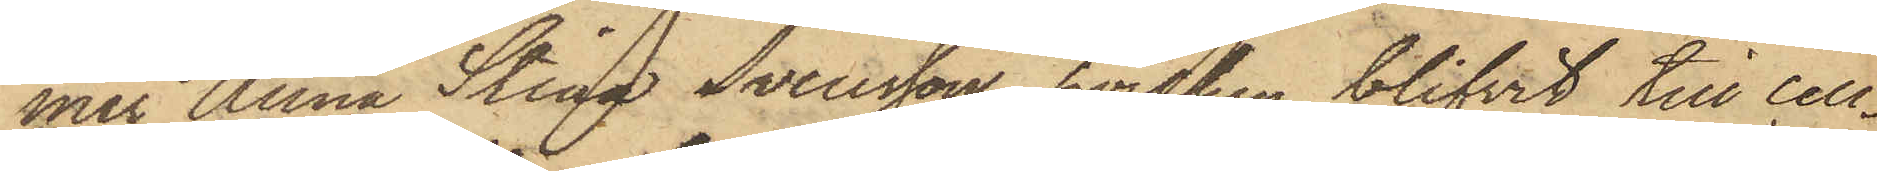mer Anna Stina Svensson, hvilken blifvit till Cell¬
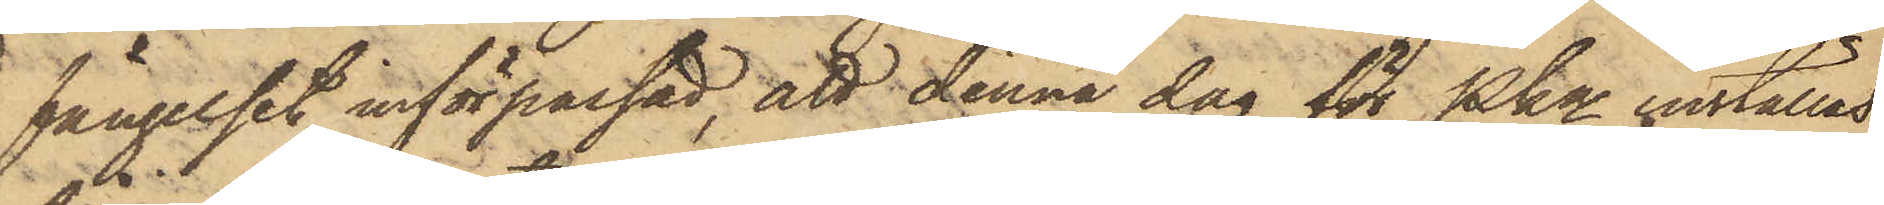fängelset införpassad, att denna dag för Pkn inställas,
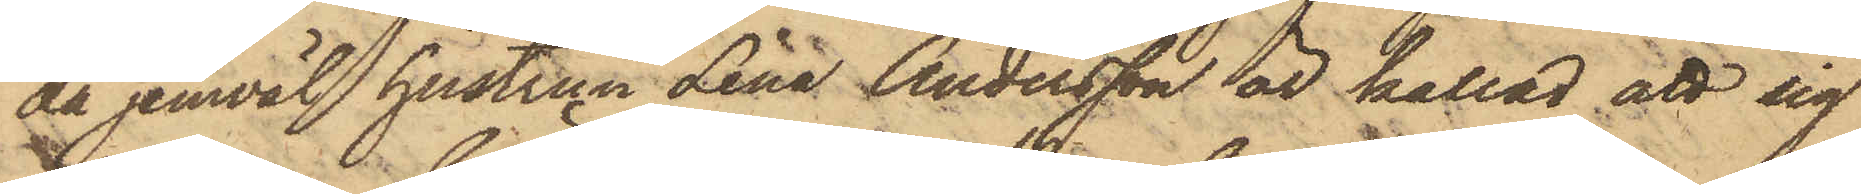då jemväl hustrun Lena Andersson är kallad att sig
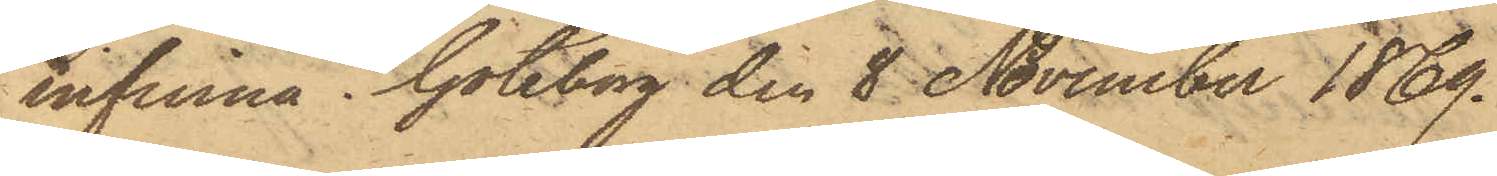infinna. Göteborg den 8 November 1869.
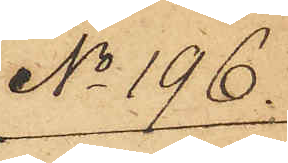No 196.
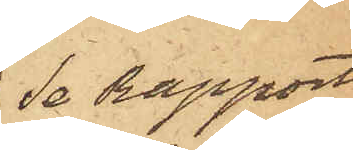Se Rapport
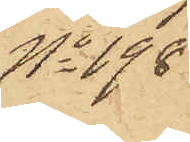No 198.
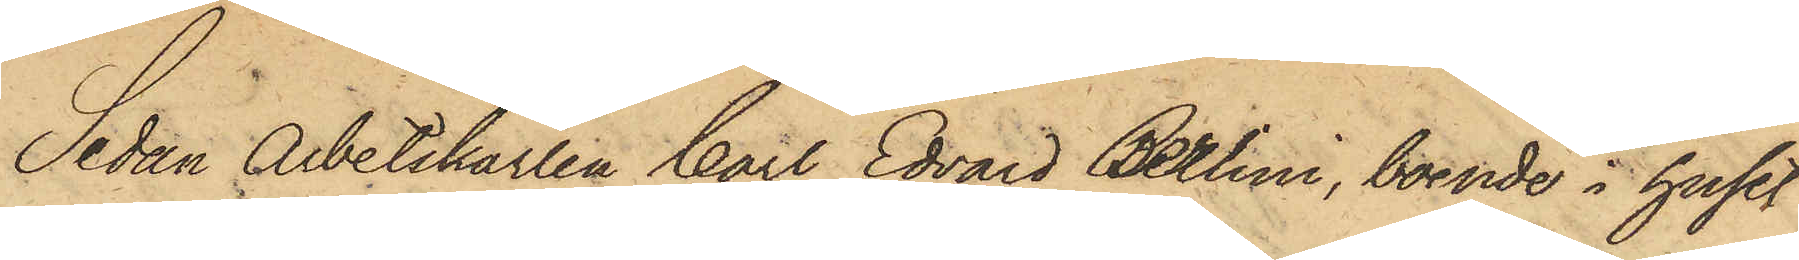Sedan Arbetskarlen Carl Edvard Berlini, boende i huset
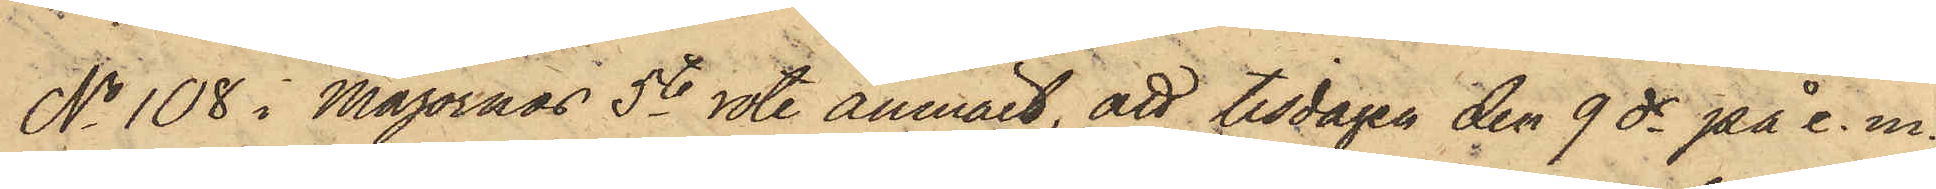No 108 i Majornas 5te rote anmält, att tisdagen den 9 ds på e. m.
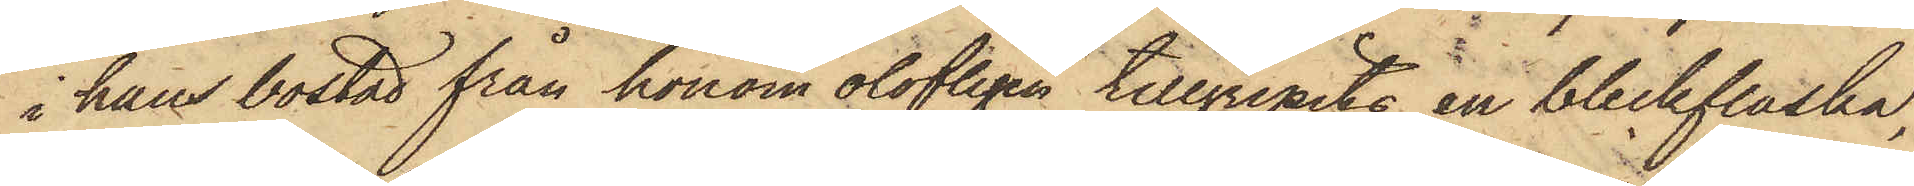i hans bostad från honom olofligen tillgripits en bleckflaska,
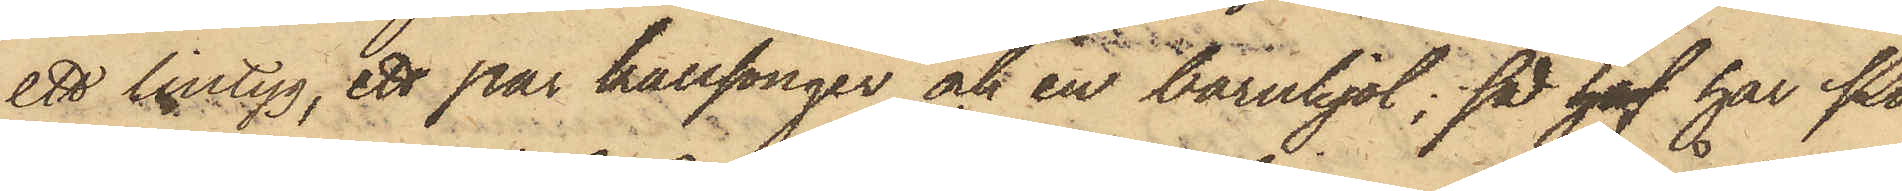ett lintyg, ett par kallsonger och en barnkjol; så haf har Po¬
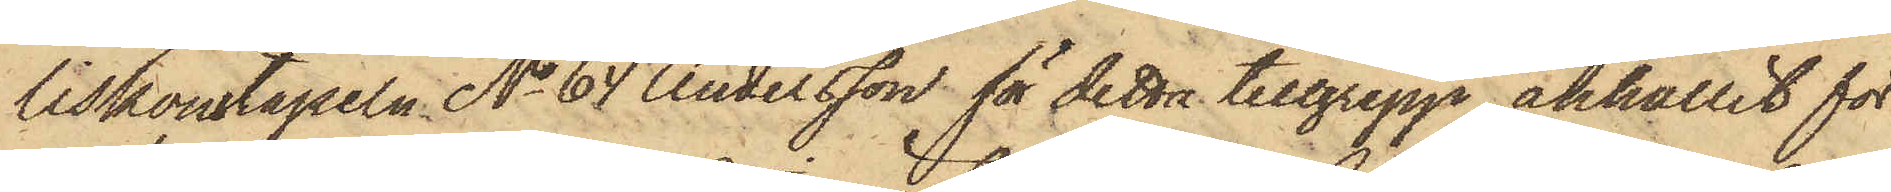liskonstapeln No 64 Andersson för detta tillgrepp anhållit för
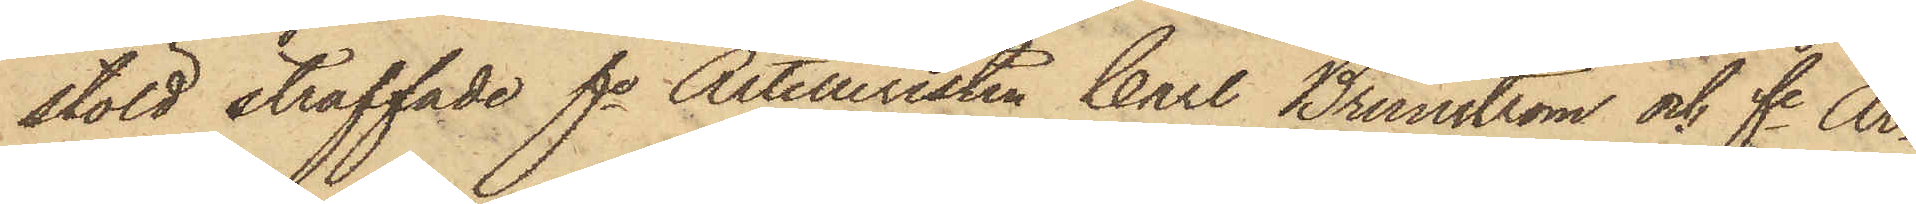stöld straffade fe Artilleristen Carl Brunström och fe Ar¬
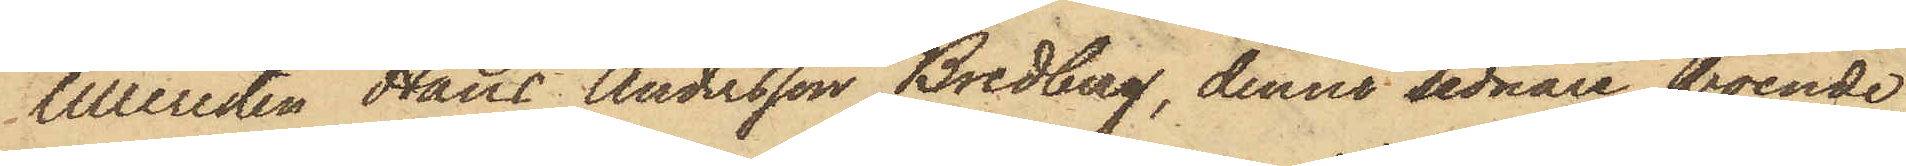tilleristen Hans Andersson Bredberg, denne sednare boende
